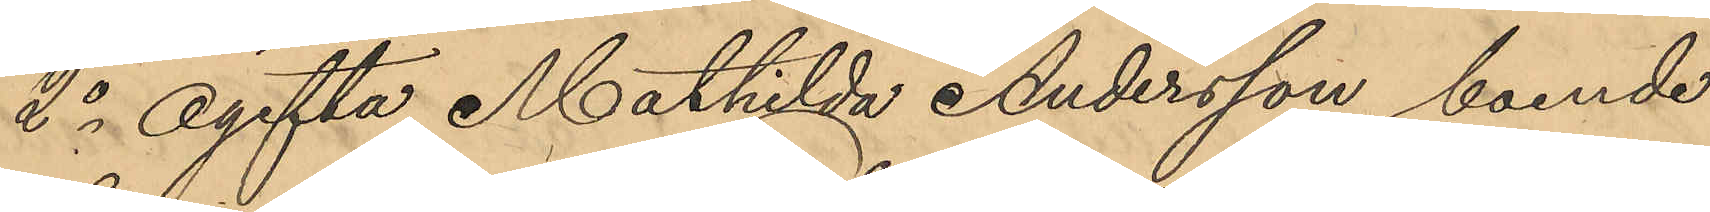2o Ogifta Mathilda Andersson, boende
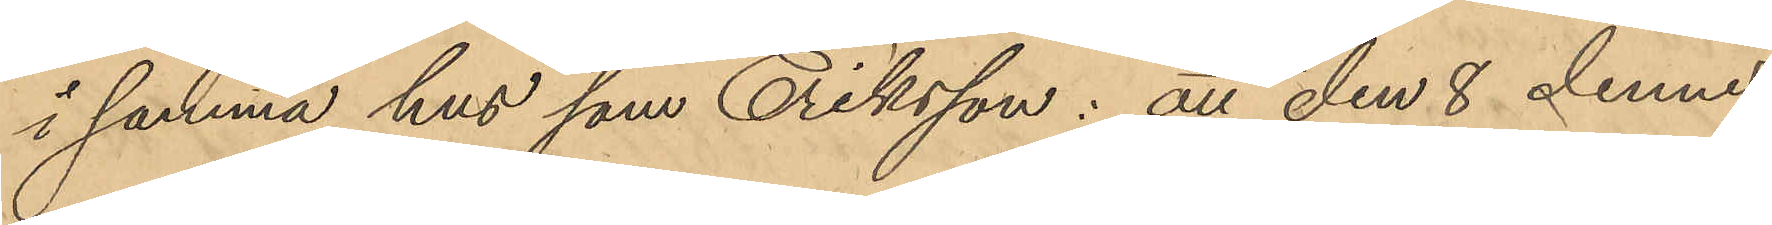i samma hus som Eriksson: att den 8 dennes
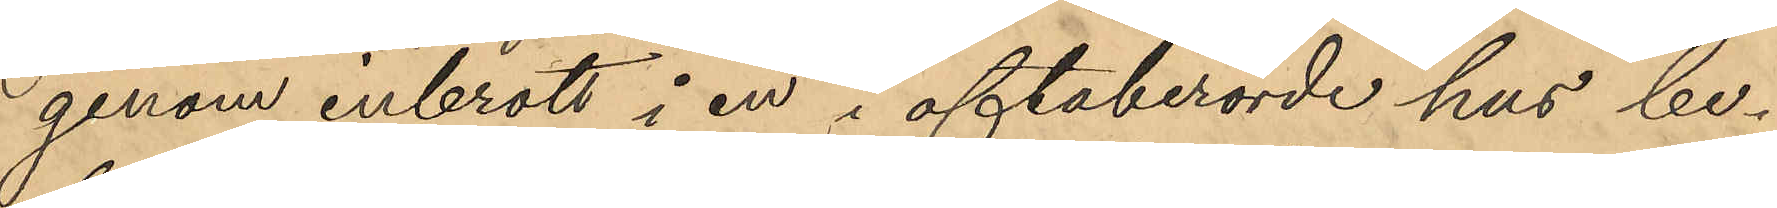genom inbrott i en i oftaberörde hus be¬
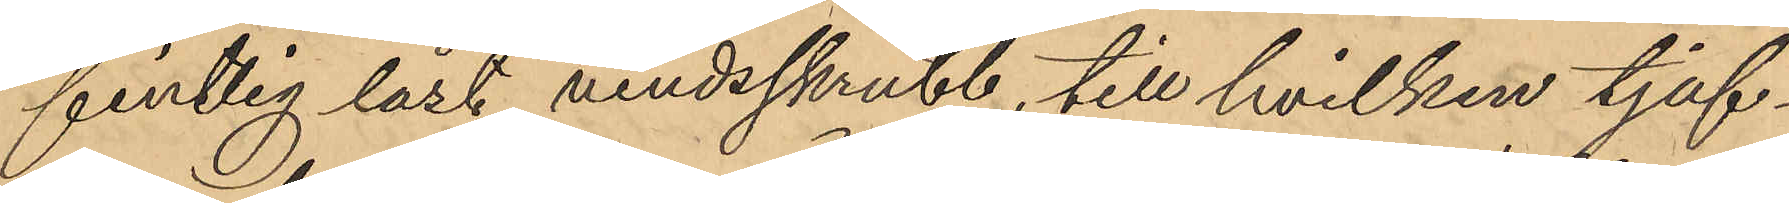fintlig låst vindsskrubb, till hvilken tjuf¬
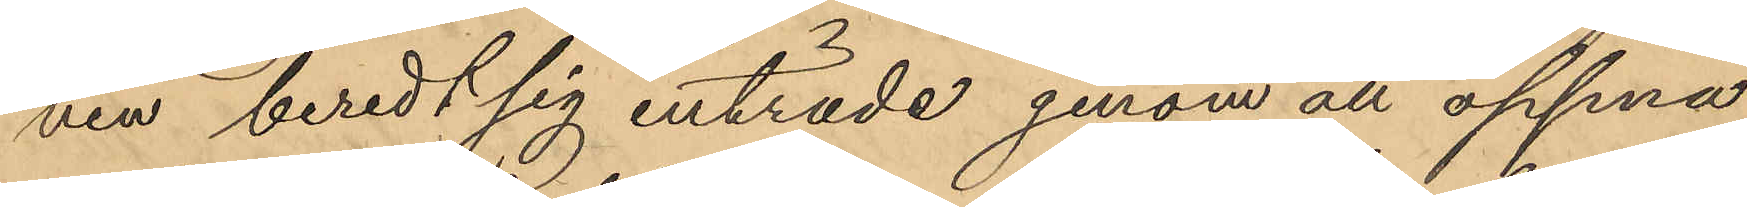ven beredt sig inträde genom att öppna
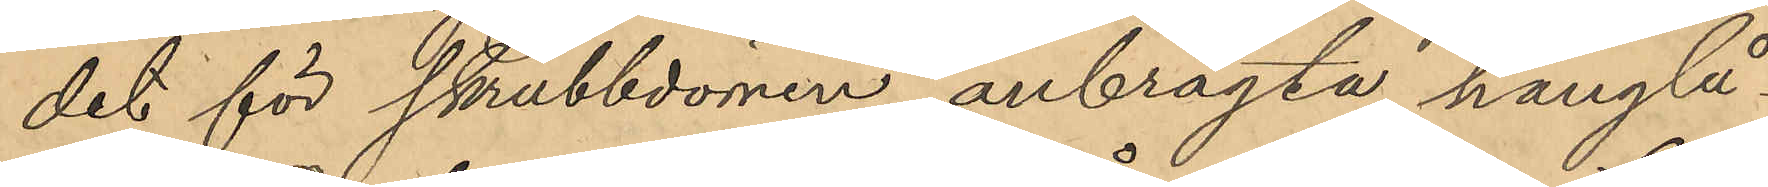det för skrubbdörren anbragta hänglå¬
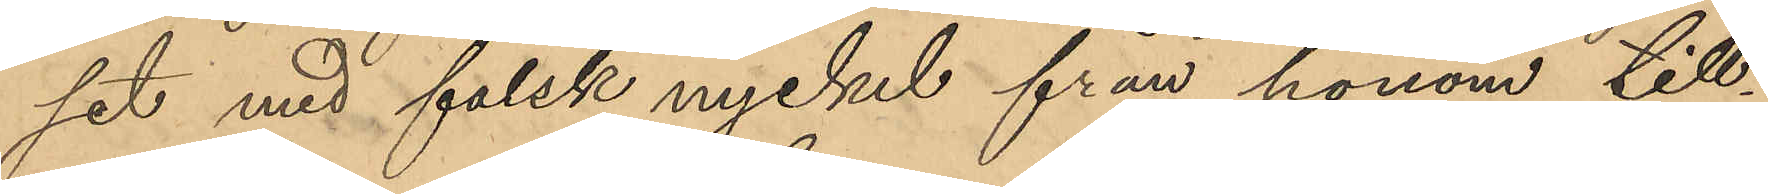set med falsk nyckel från honom till¬
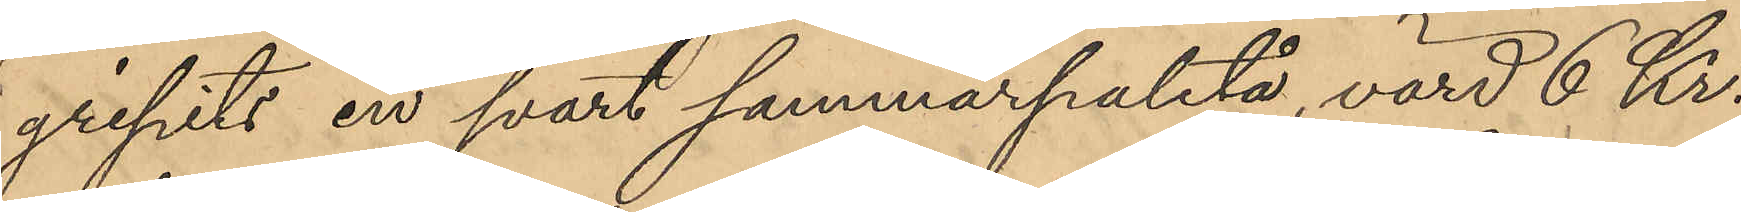gripits en svart sommarpaletå, värd 6 Kr.
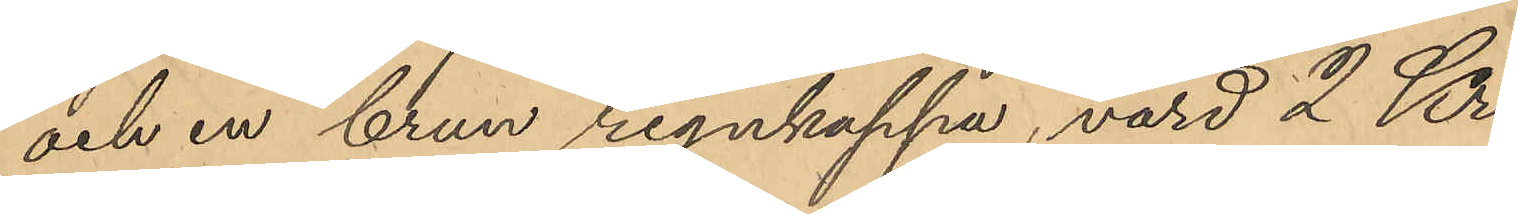och en brun regnkappa, värd 2 Kr.
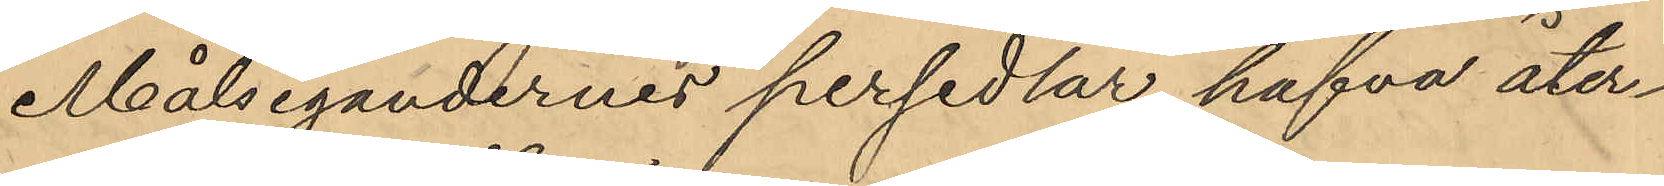Målsegandernes persedlar hafva åter¬
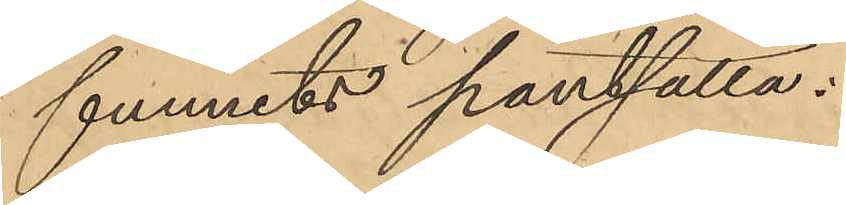funnits pantsatta:
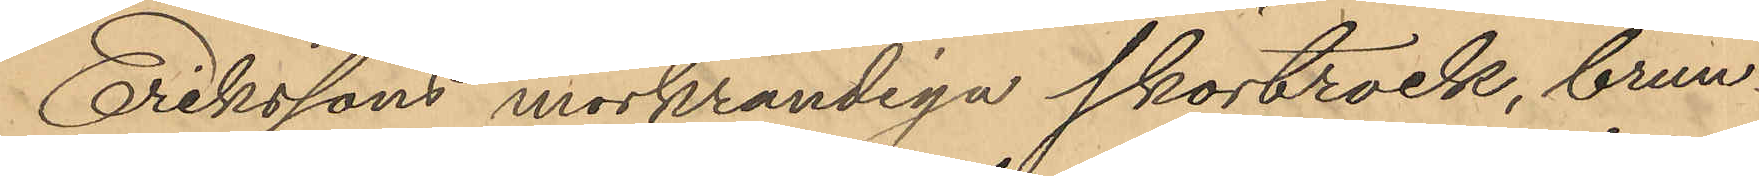Erikssons mörkrandiga skörtrock, brun¬
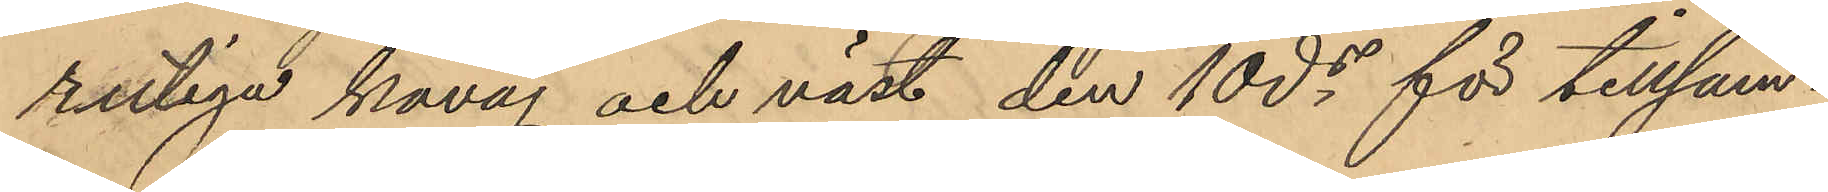rutiga kavaj och väst den 10 ds för tillsam¬
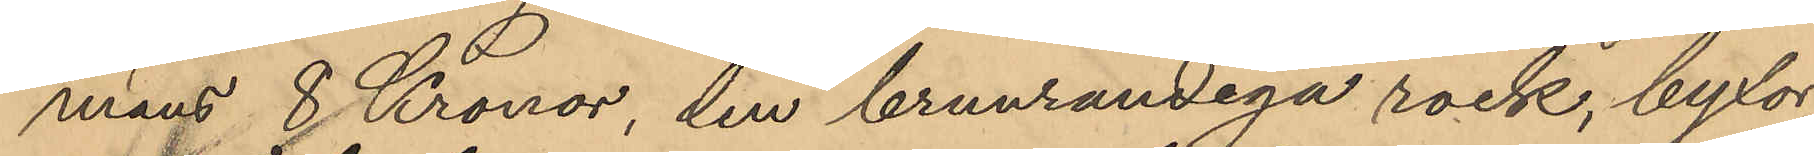mans 8 Kronor, den brunrandiga rock, byxor
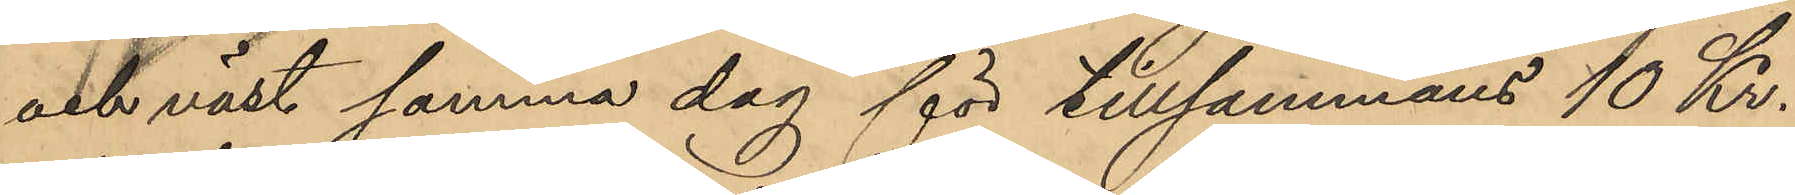och väst samma dag för tillsammans 10 Kr.
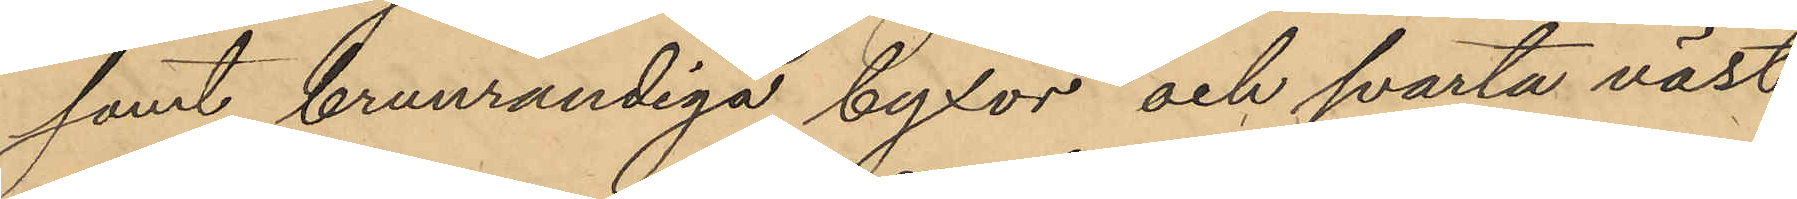samt brunrandiga byxor och svarta väst
